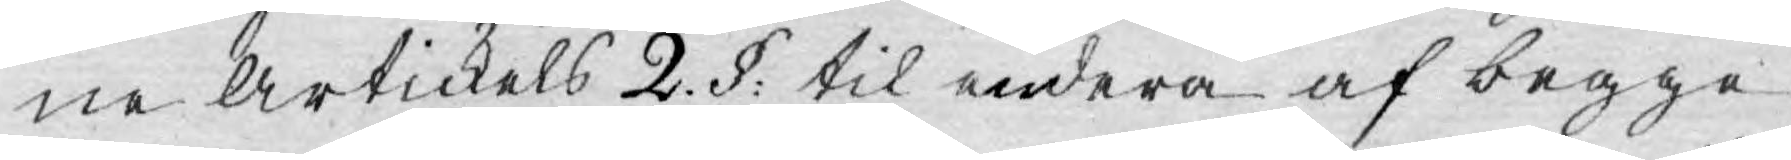ne Artickels 2. §: til endera af begge
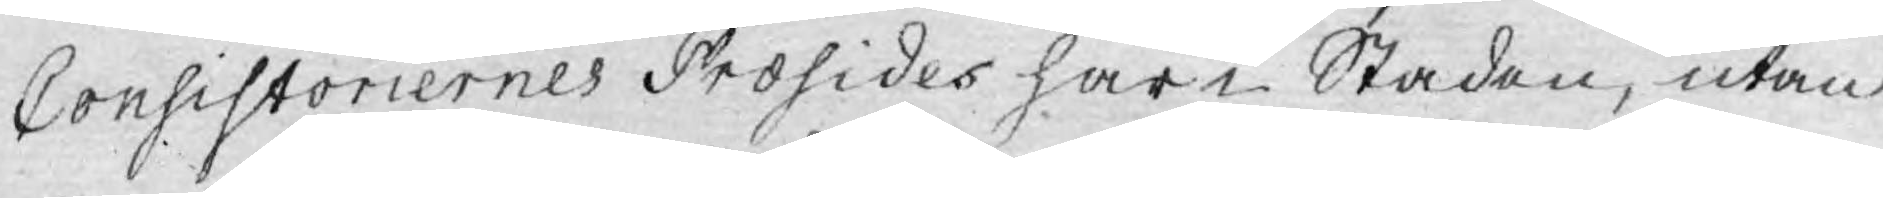Consistoriernes Prosides här i Staden, utan
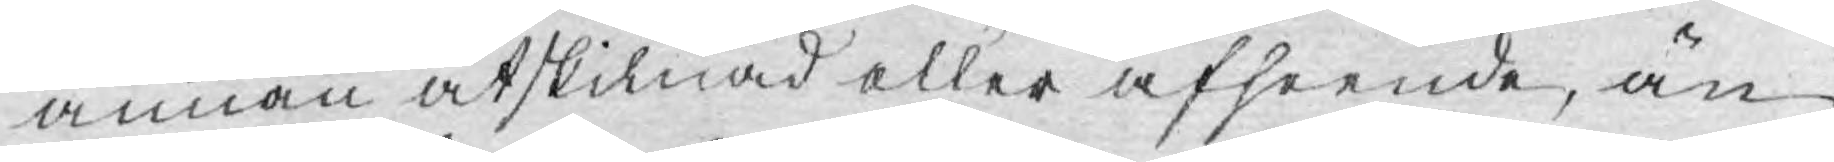annan åtskilnad eller afseende, än
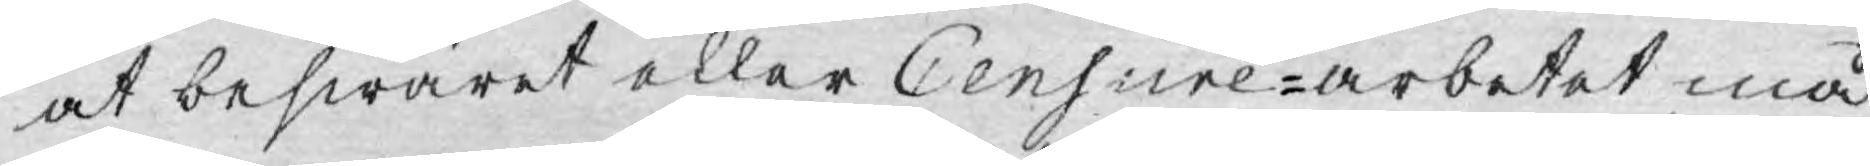at beswäret eller Censure-arbetet må
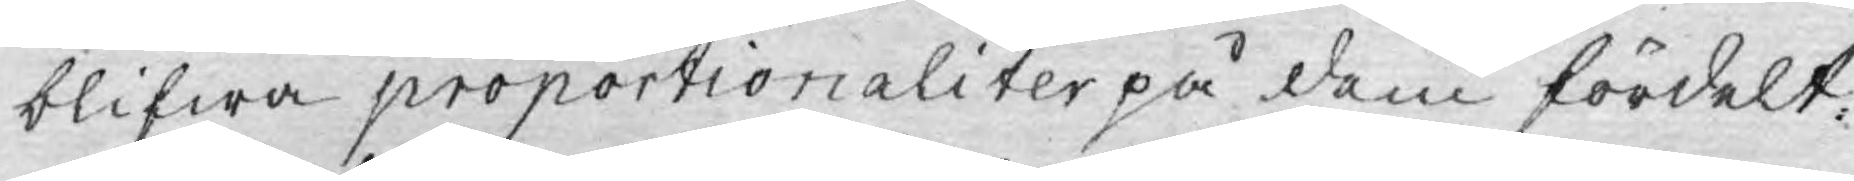blifwa proportionaliter på dem fördelt.
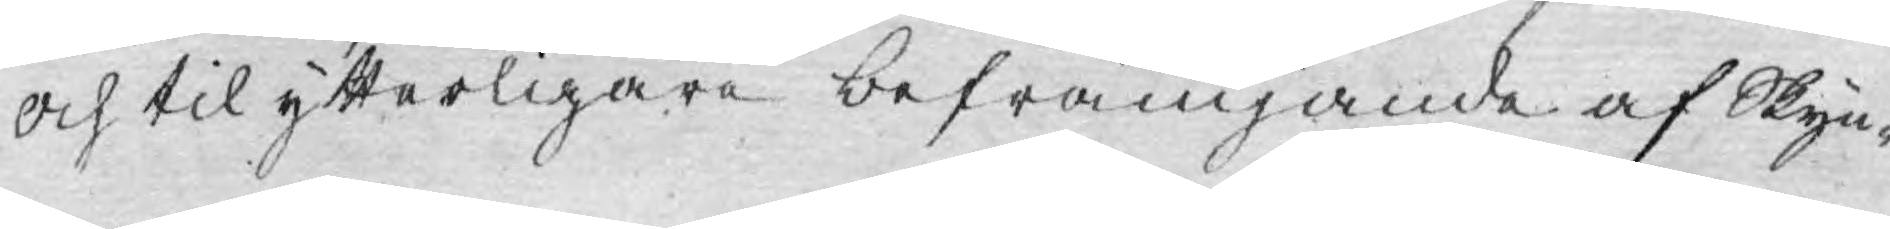Och til ytterligare befrämjande af Skyn¬
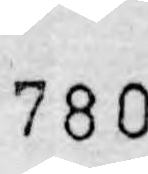780
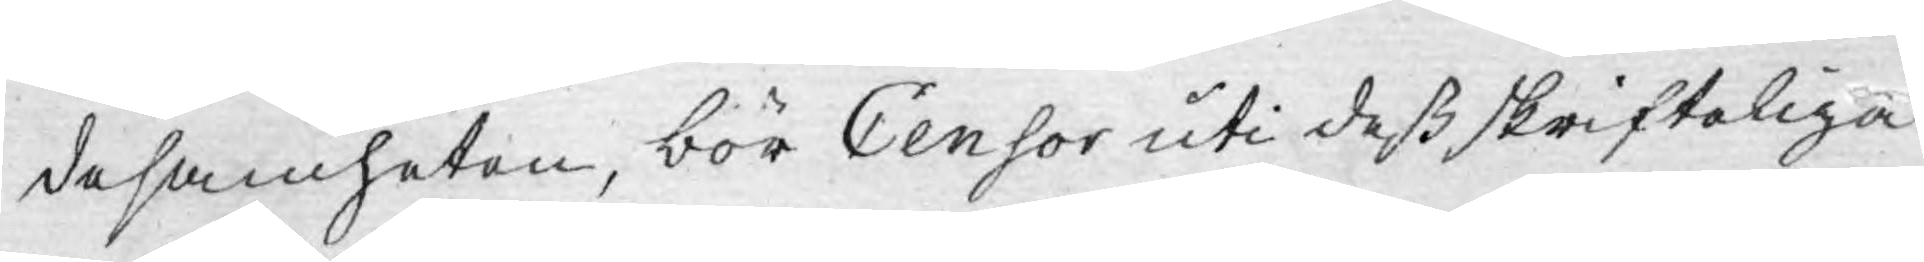desamheten, bör Censor uti deß skrifteliga
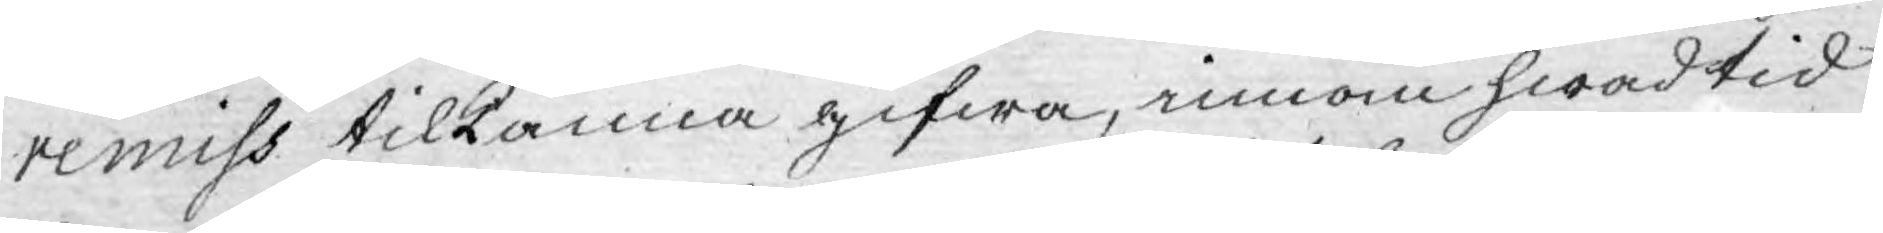remiss tilkänna gifwa, innom hwad tid
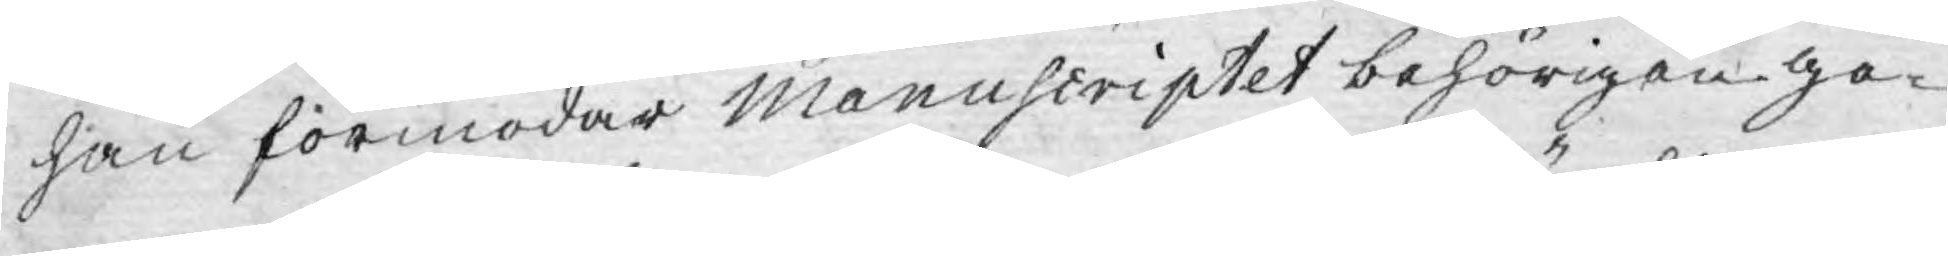han förmodar Manuscriptet behörigen ge¬
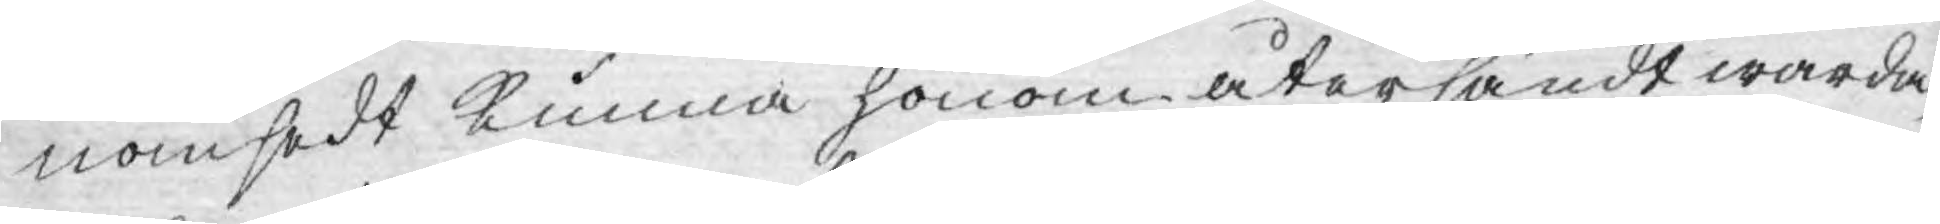nomsedt kunna honom återsändt warda,
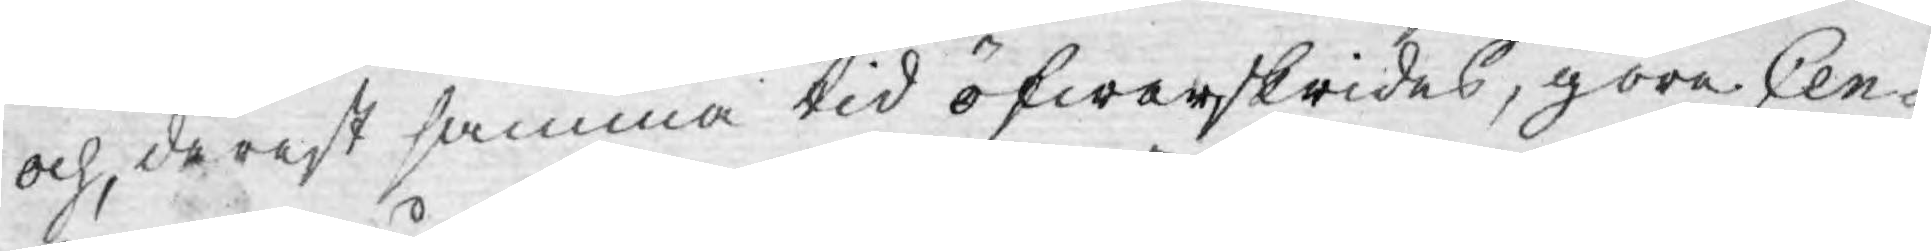och derest samma tid öfwerskrides, göre Cen¬
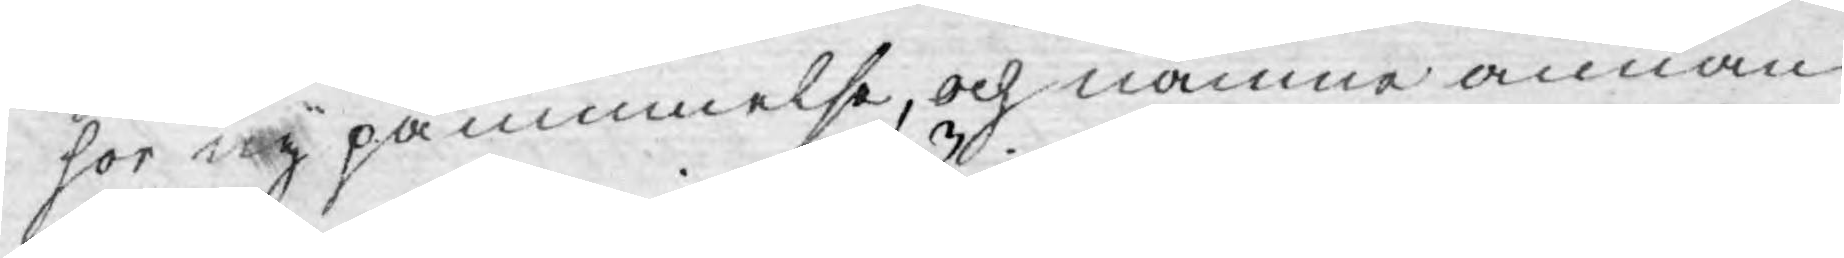sor ny påminnelse, och nämne annan
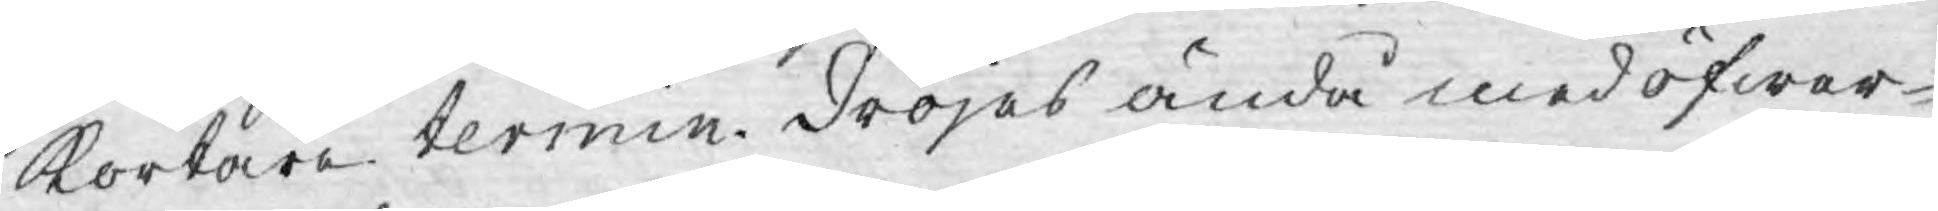kortare termin. Dröjes ändå med öfwer¬
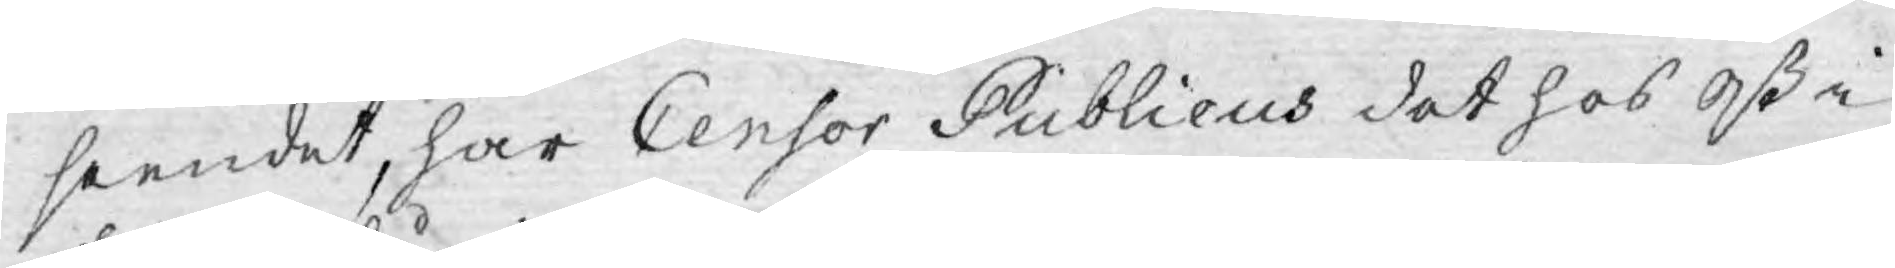seendet, har Censor Publicus det hos Oß i
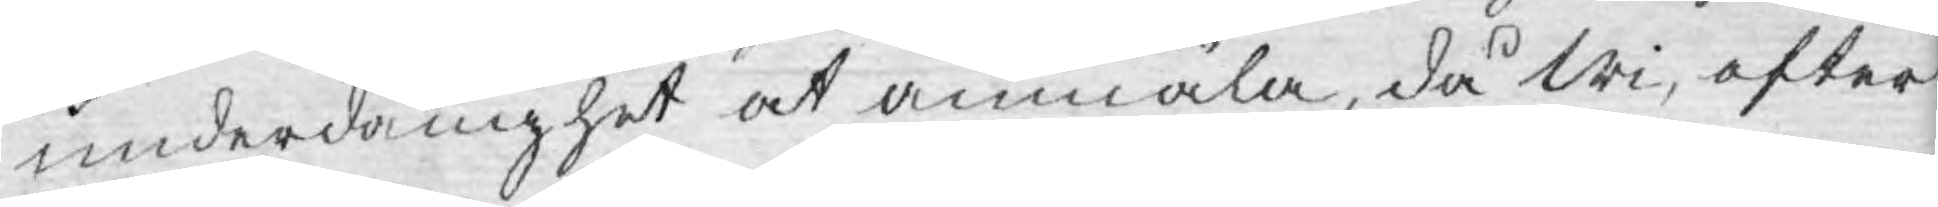underdånighet at anmäla, då Wi, efter
